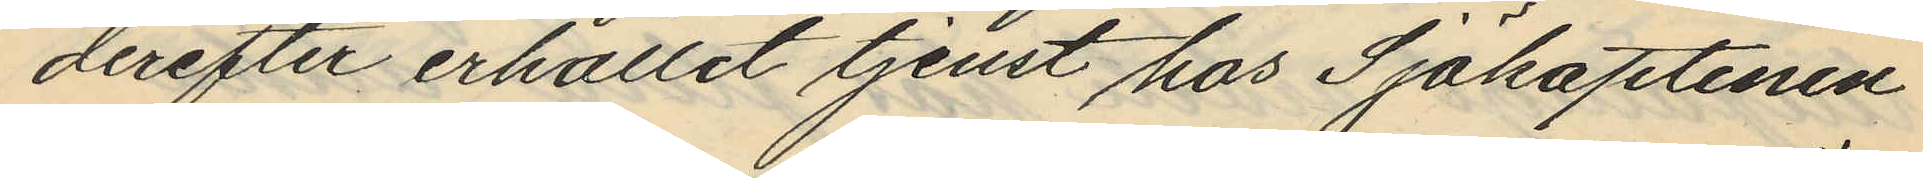derefter erhållit tjenst hos Sjökaptenen
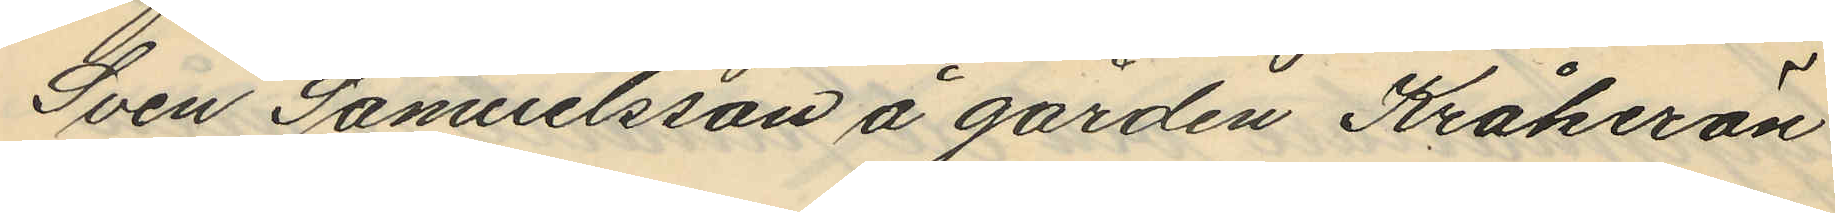Sven Samuelsson å gården Kråkerön
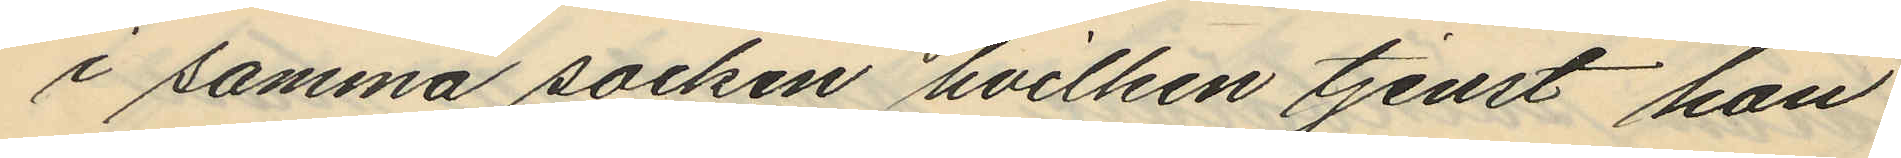i samma socken hvilken tjenst hon
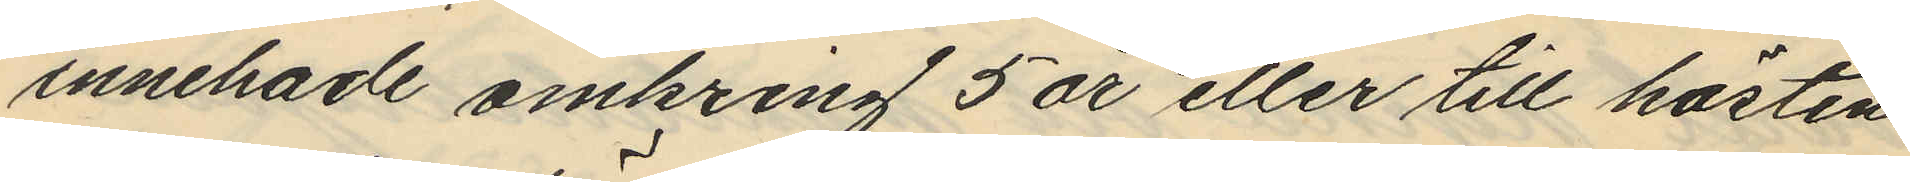innehade omkring 5 år eller till hösten
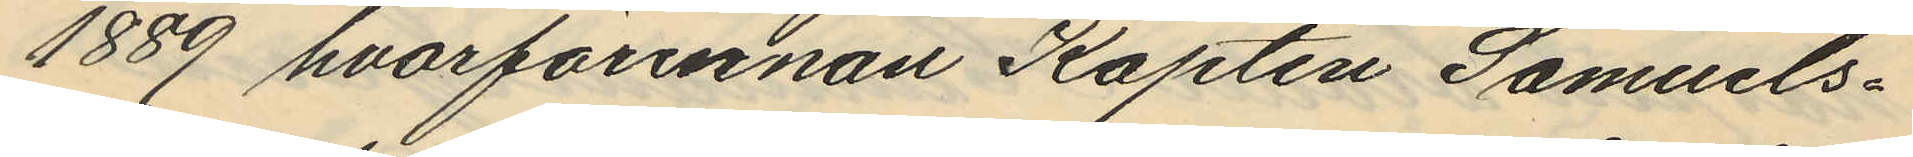1889 hvarförinnan Kapten Samuels¬
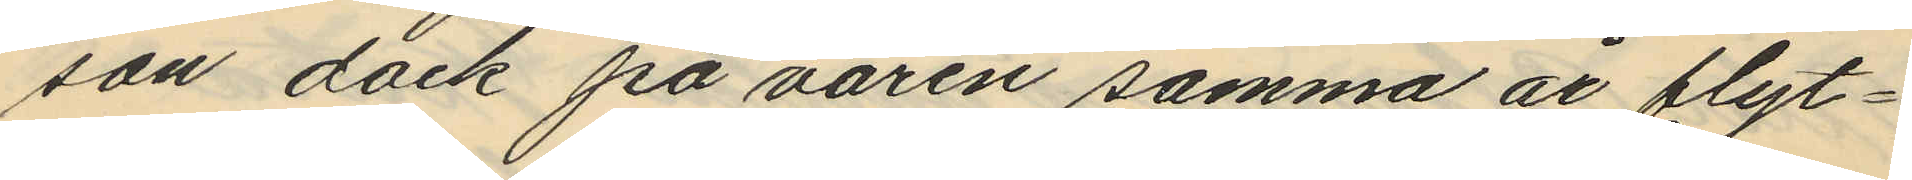son dock på våren samma år flyt¬
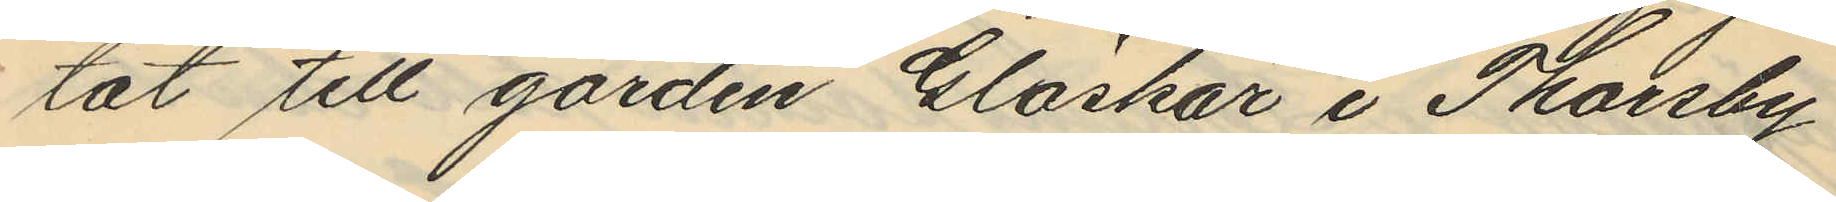tat till gården Gläskär i Thorsby
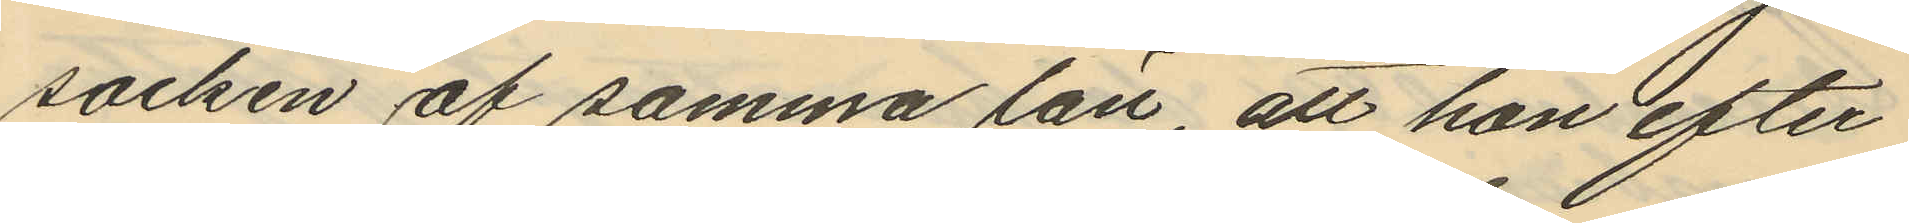socken af samma län, att hon efter
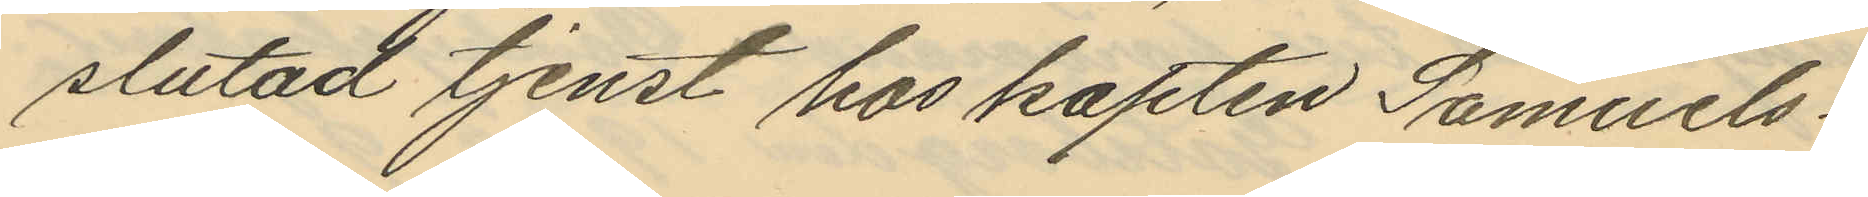slutad tjenst hos kapten Samuels¬
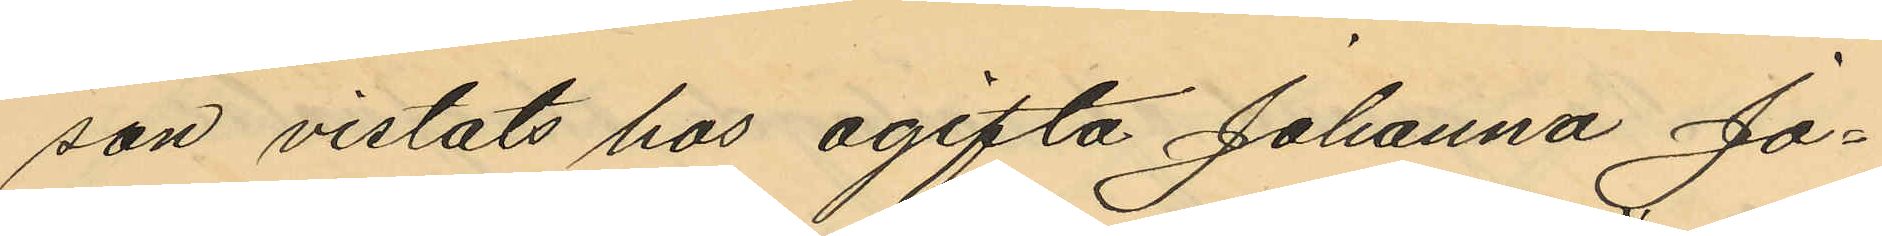son vistats hos ogifta Johanna Jo¬
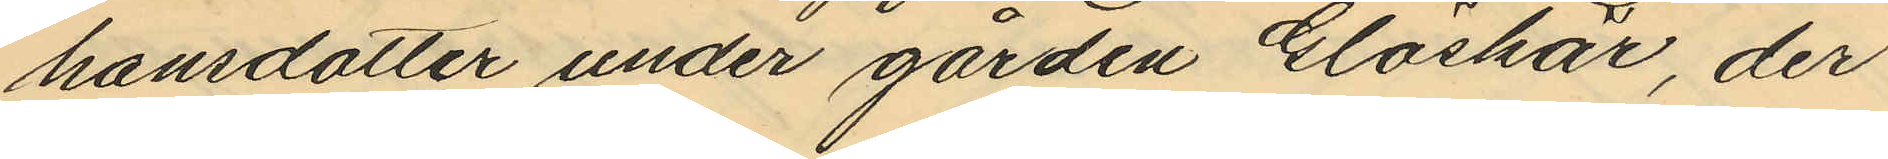hansdotter under gården Gläskär, der
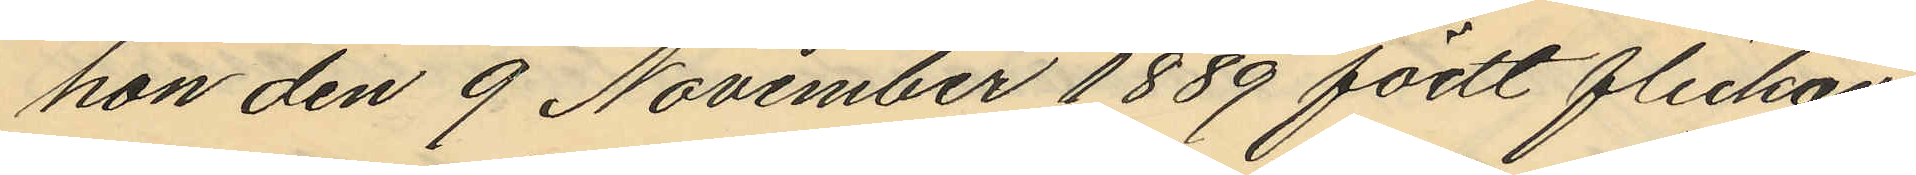hon den 9 November 1889 födt flickan
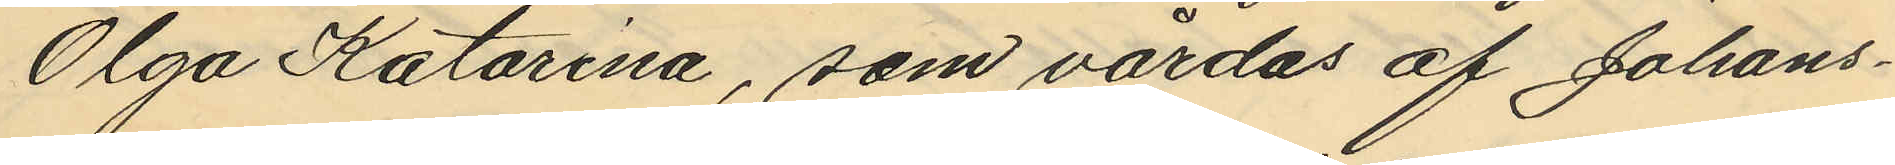Olga Katarina, som vårdas af Johans¬
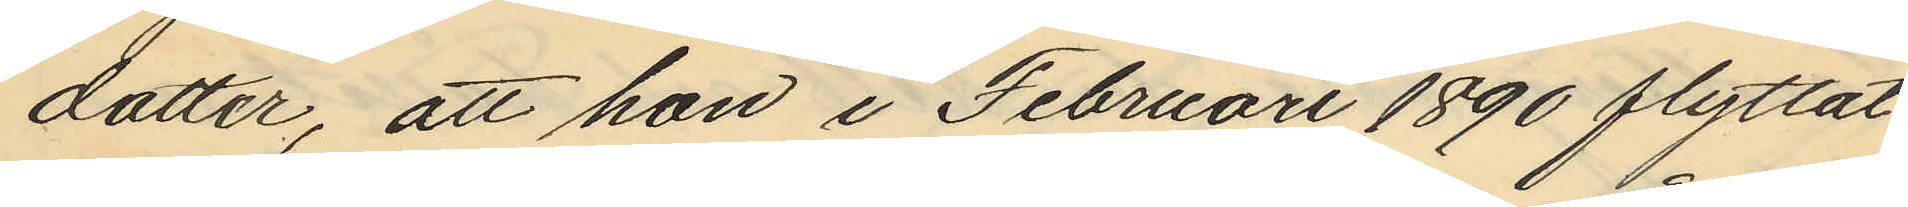dotter, att hon i Februari 1890 flyttat
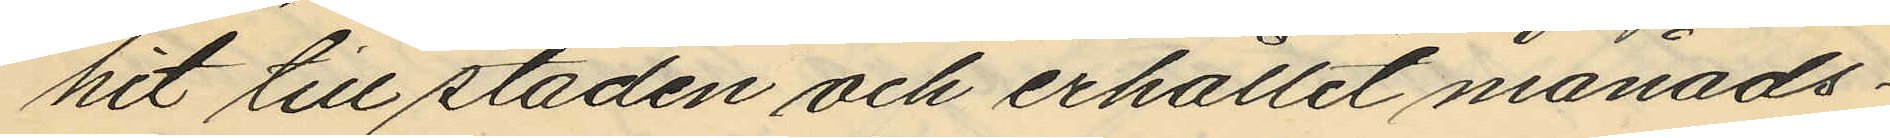hit till staden och erhållit månads¬
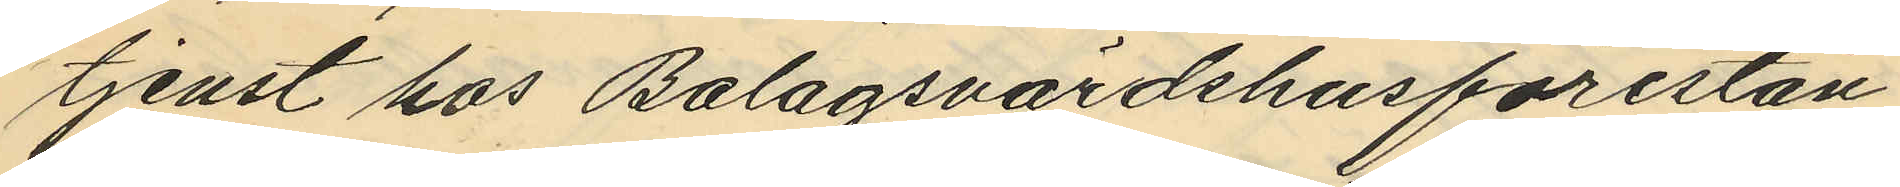tjenst hos Bolagsvärdshusförestån¬
